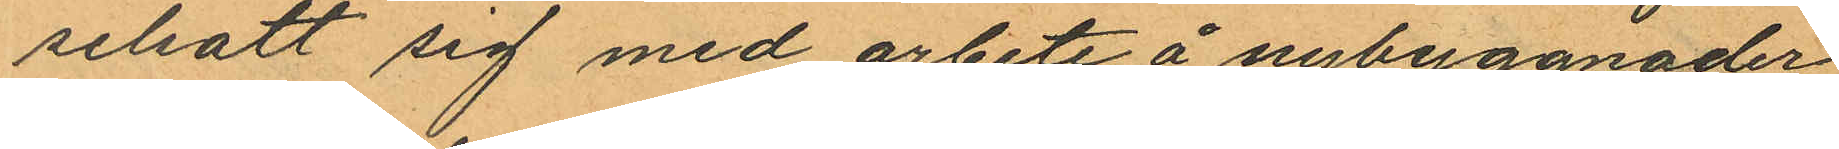selsatt sig med arbete å nybyggnader
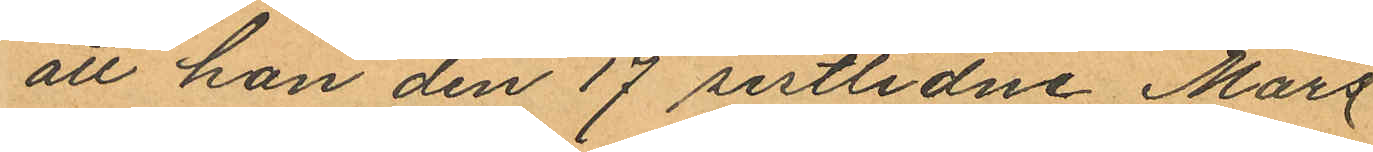att han den 17 sistlidne Mars
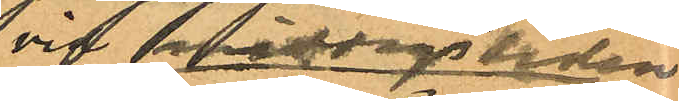vid Stigbergsliden
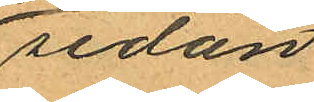sedan
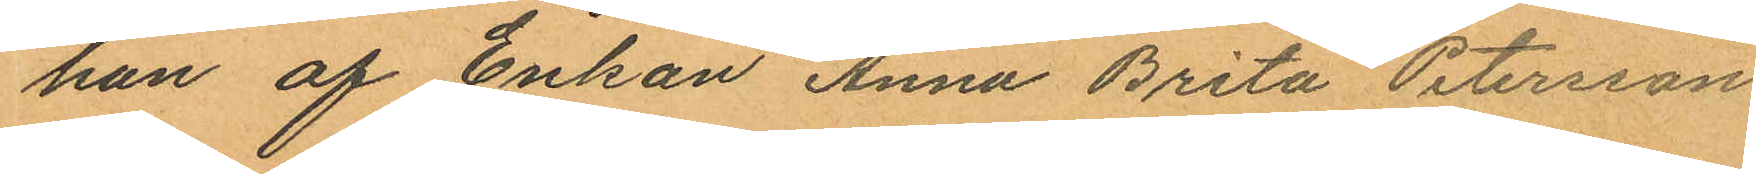han af Enkan Anna Brita Petersson
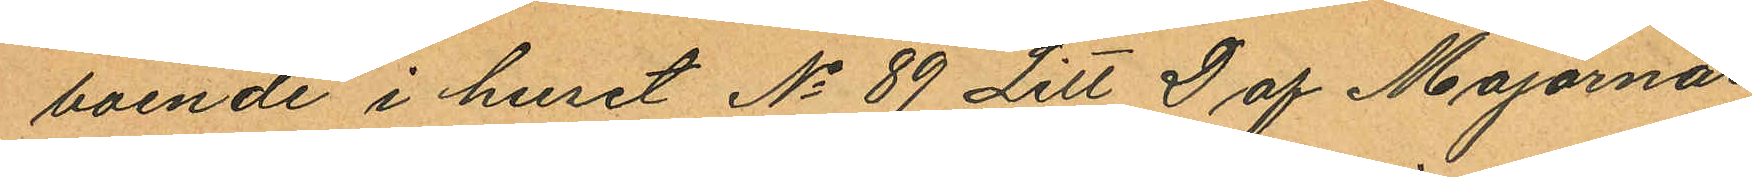boende i huset No 89 Litt D af Majornas
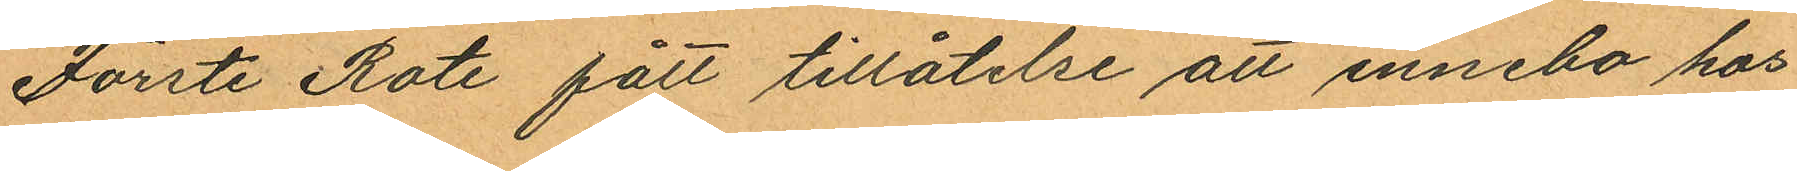Förste Rote fått tillåtelse att innebo hos
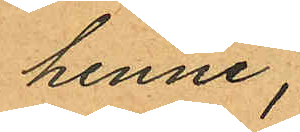henne,
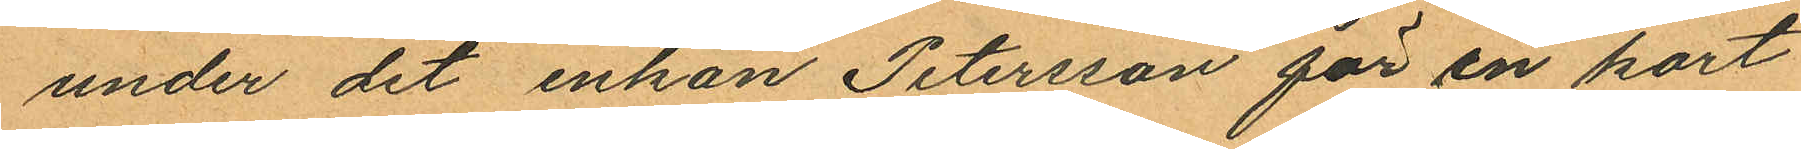under det enkan Petersson för en kort
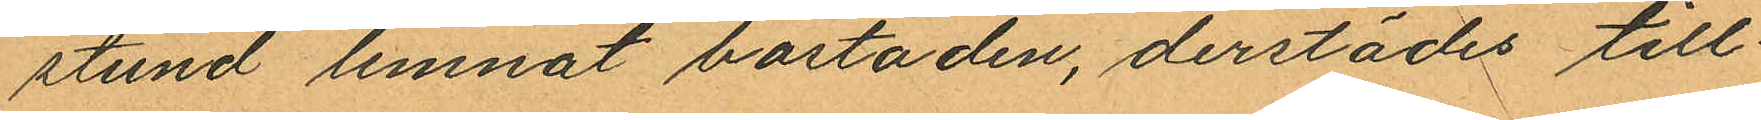stund lemnat bostaden, derstädes till¬
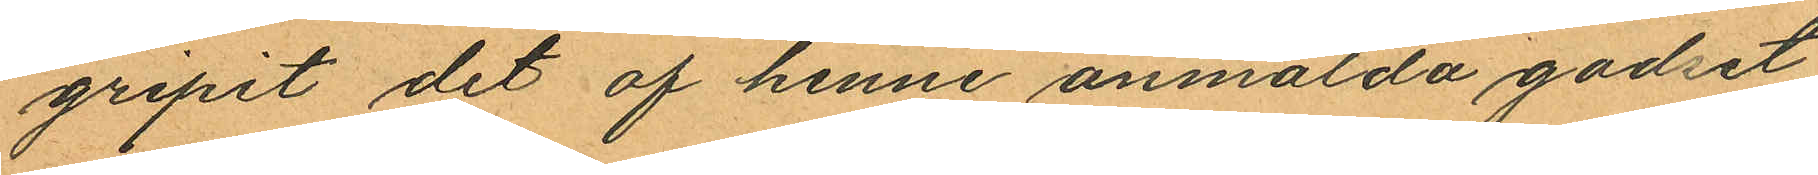gripit det af henne anmälda godset
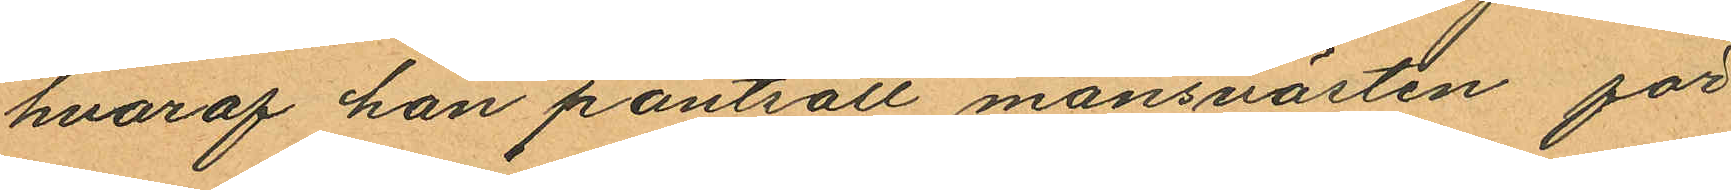hvaraf han pantsatt mansvästen för
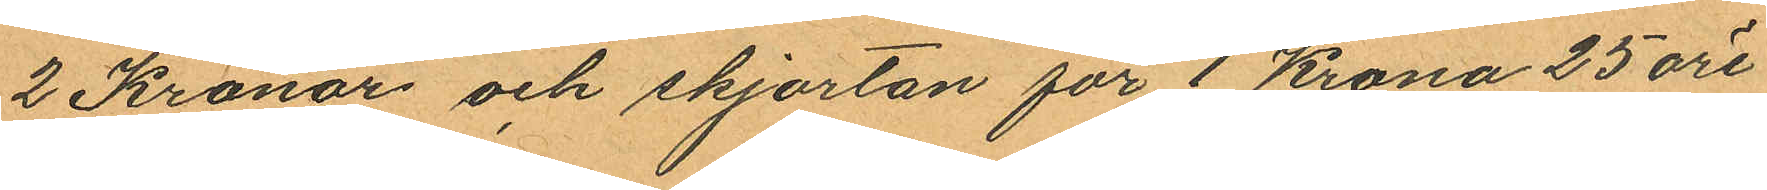2 Kronor och skjortan för 1 Krona 25 öre
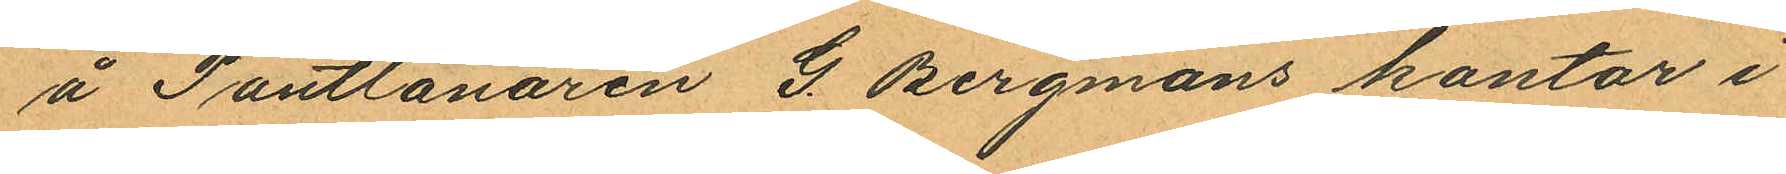å Pantlånaren G. Bergmans kontor i
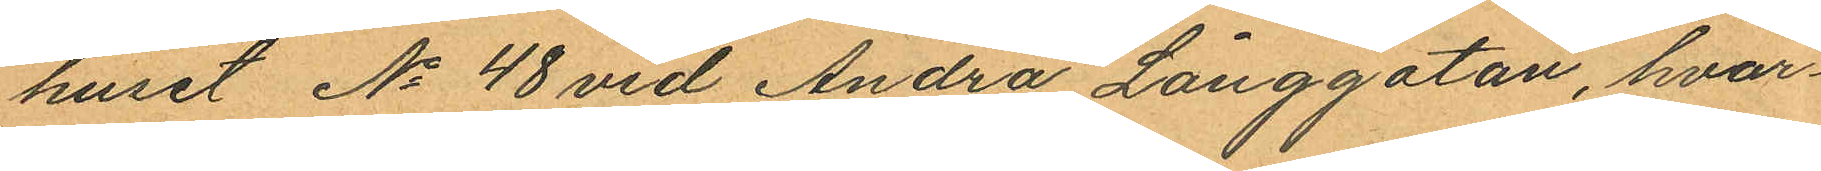huset No 48 vid Andra Långgatan, hvar¬
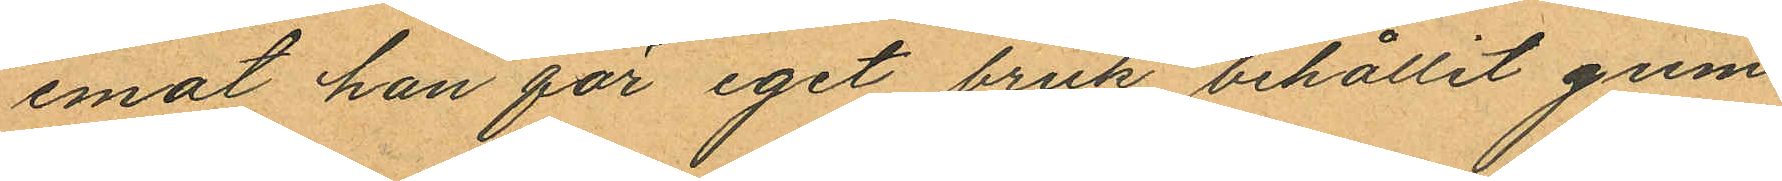emot han för eget bruk behållit gum¬
